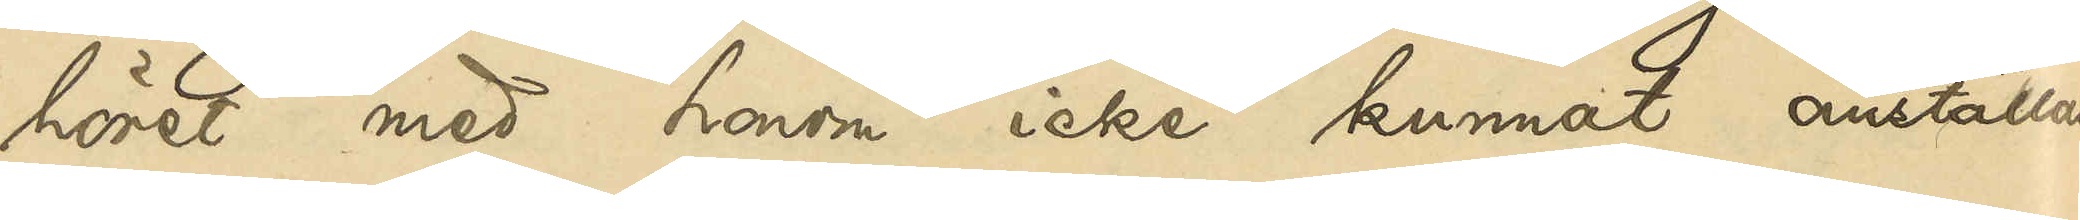höret med honom icke kunnat anställas.
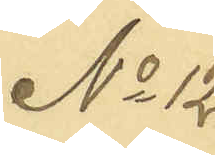No 12
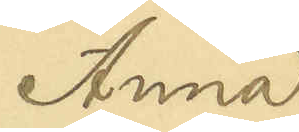Anna
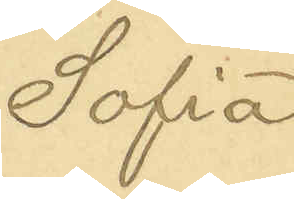Sofia
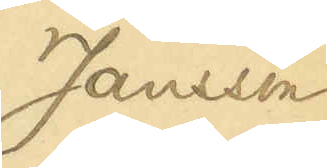Jansson
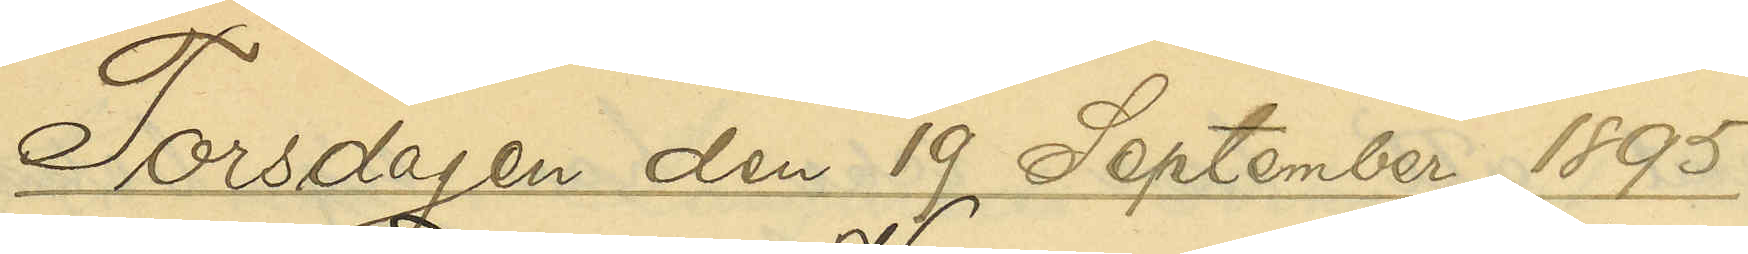Torsdagen den 19 September 1895
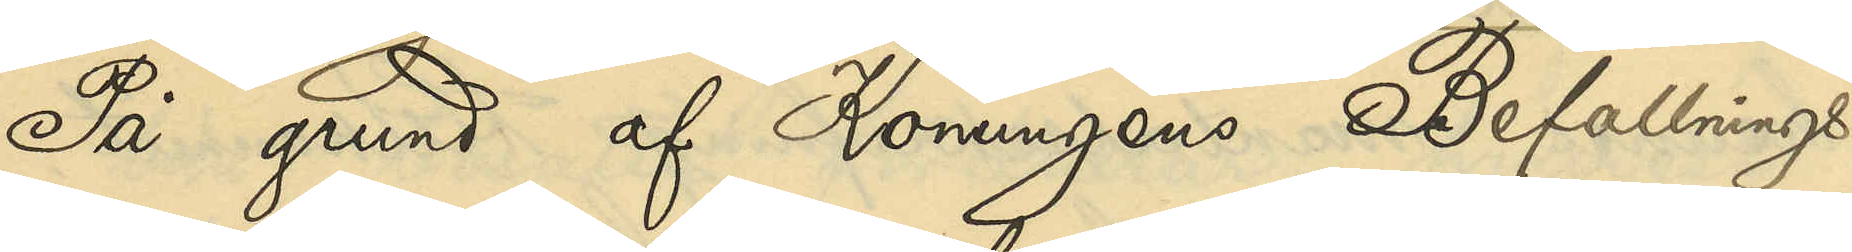På grund af Konungens Befallnings¬
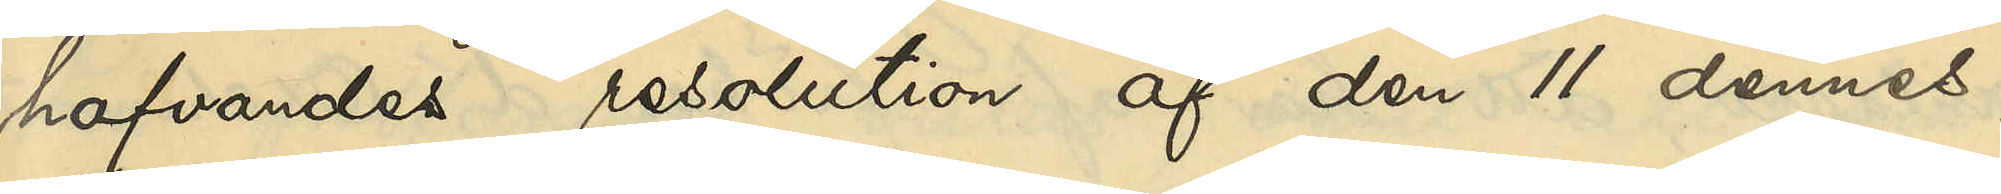hafvandes resolution af den 11 dennes,
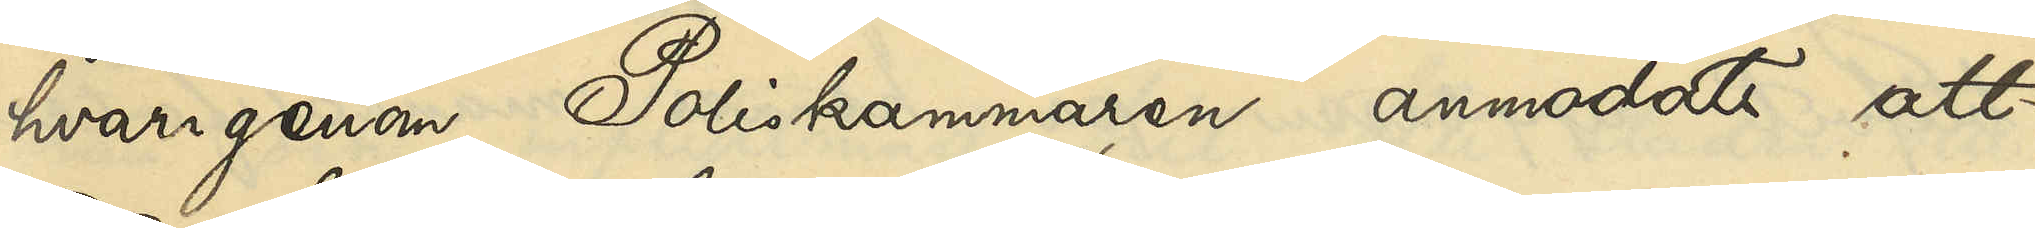hvarigenom Poliskammaren anmodats att
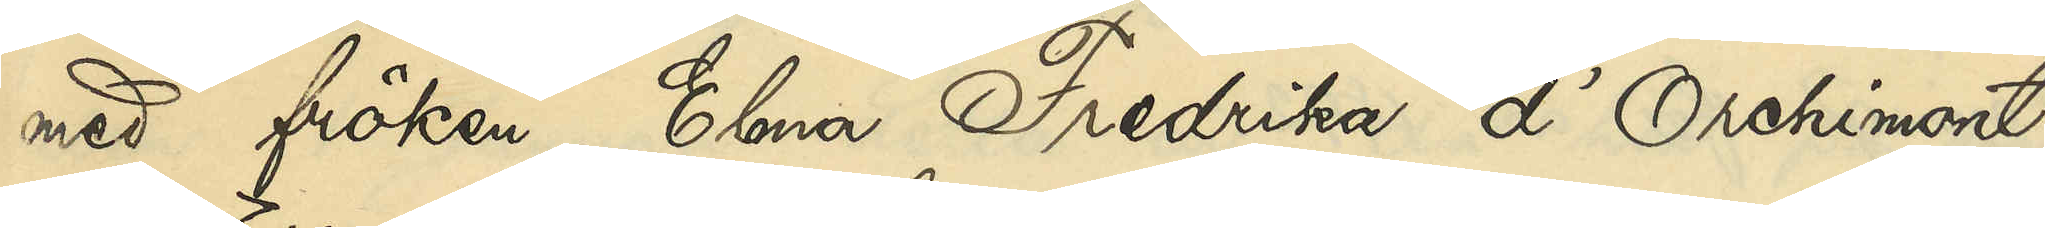med fröken Elma Fredrika d'Orchimont
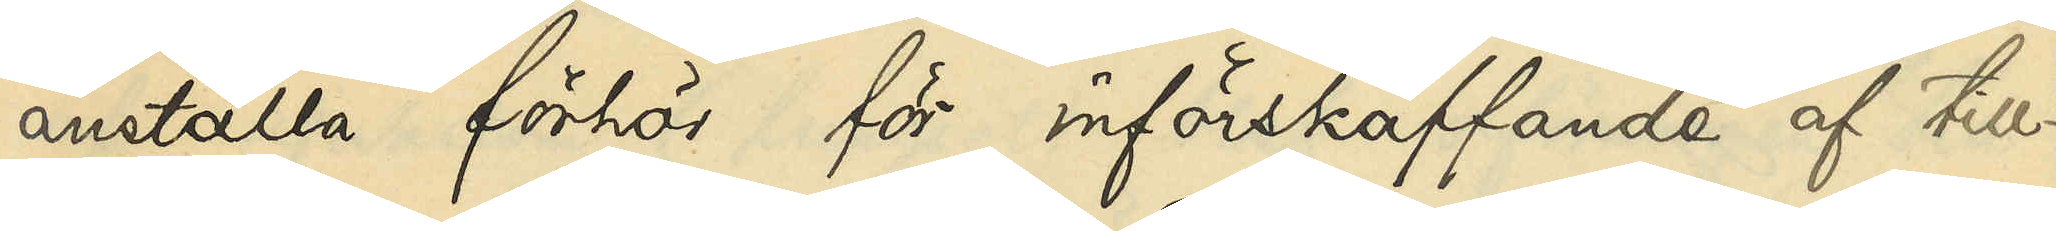anställa förhör för införskaffande af till¬
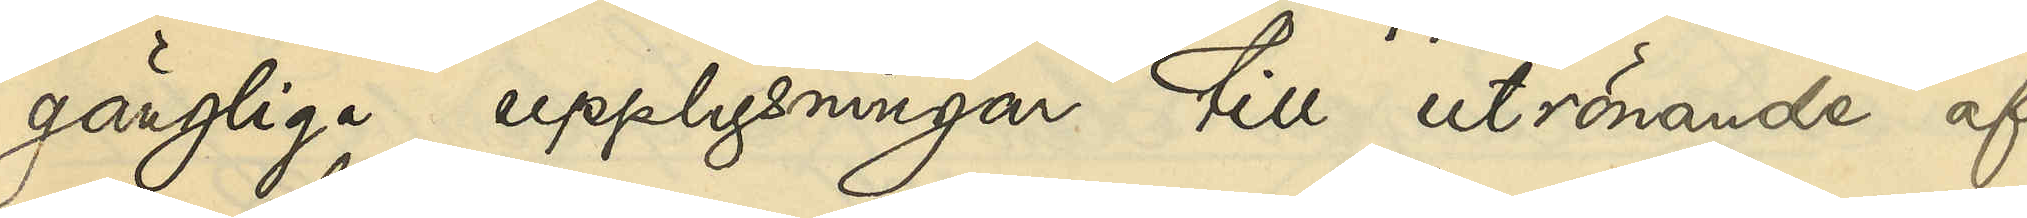gängliga upplysningar till utrönande af
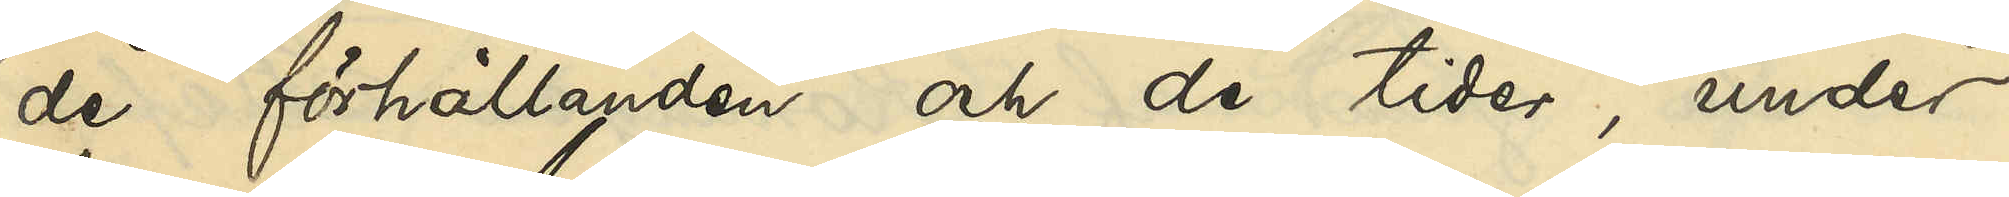de förhållanden och de tider, under
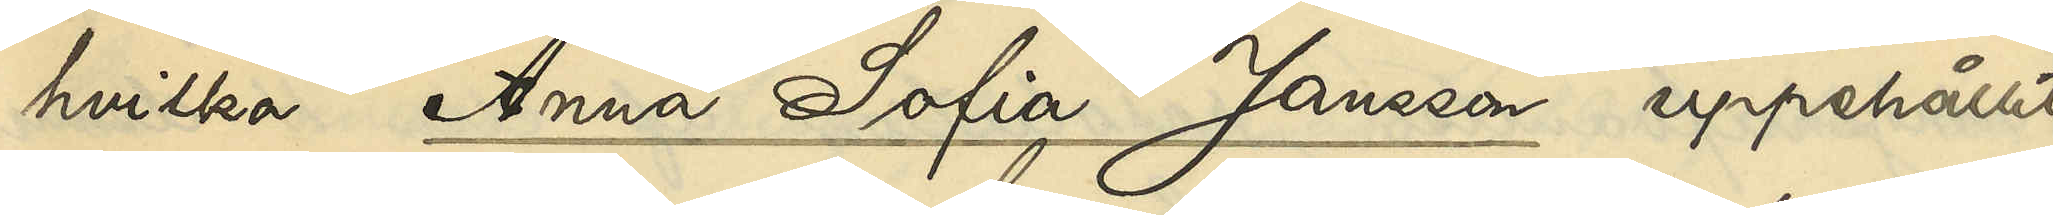hvilka Anna Sofia Jansson uppehållit
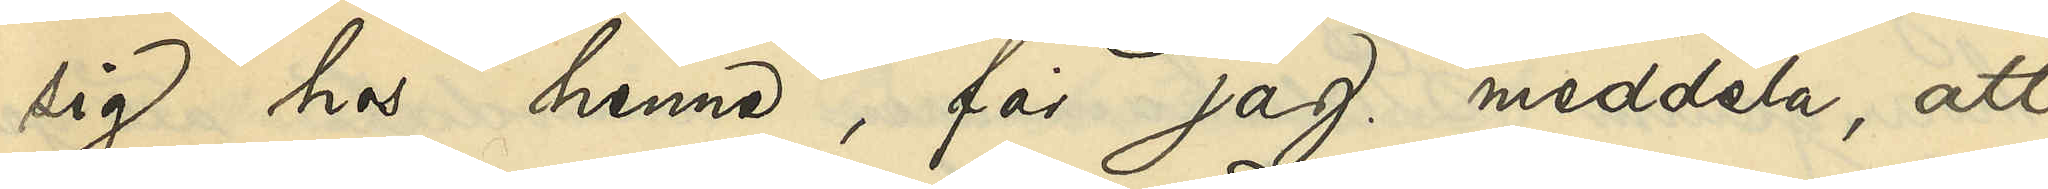sig hos henne, får jag meddela, att
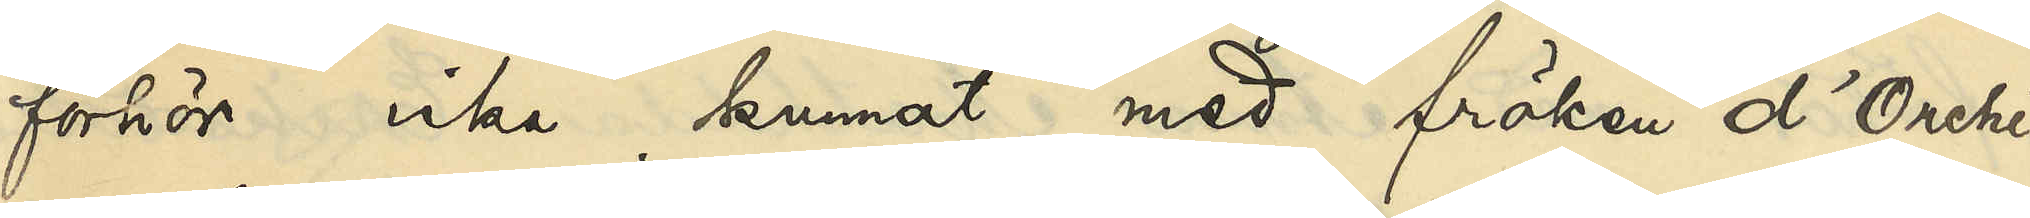förhör icke kunnat med fröken d'Orchi¬
